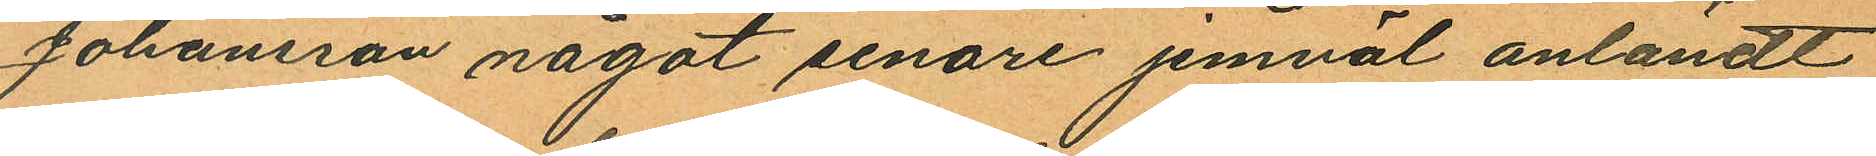Johansson något senare jemväl anländt
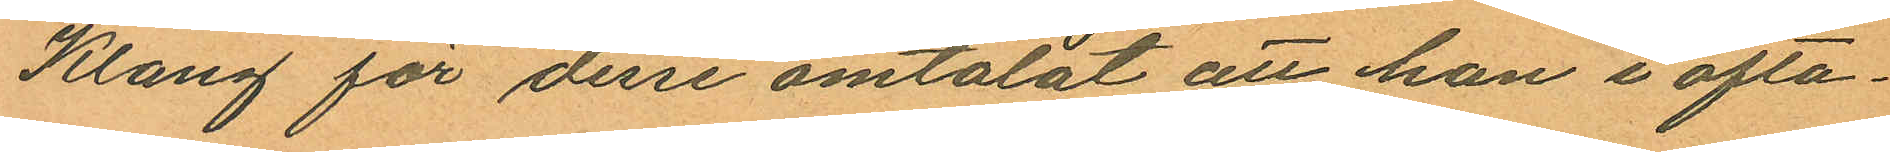Klang för desse omtalat att han i ofta¬
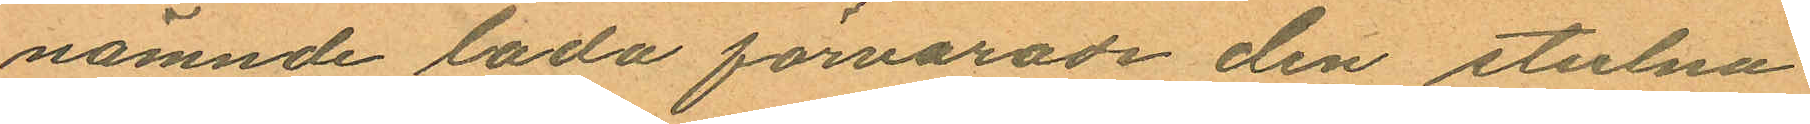nämnde lada förvarade den stulna
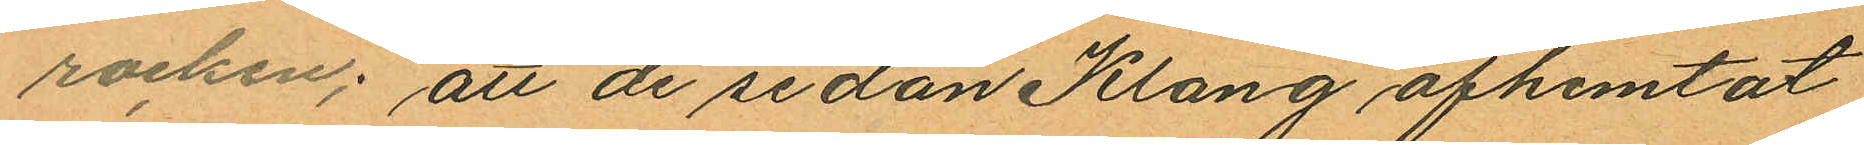rocken; att de sedan Klang afhemtat
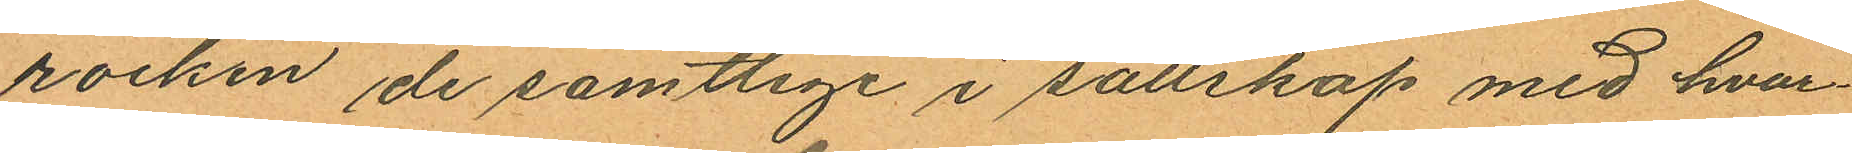rocken de samtlige i sällskap med hvar¬
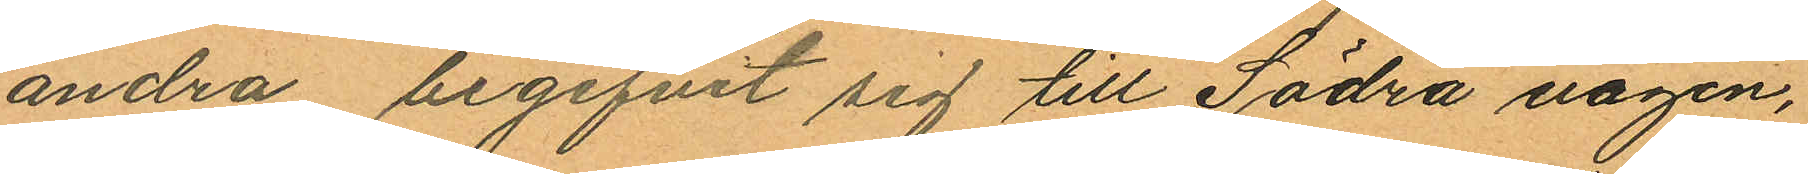andra begifvit sig till Södra vägen,
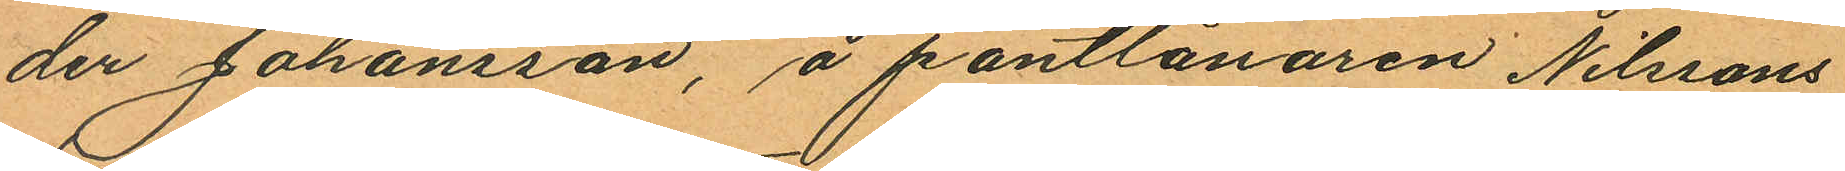der Johansson, å pantlånaren Nilssons
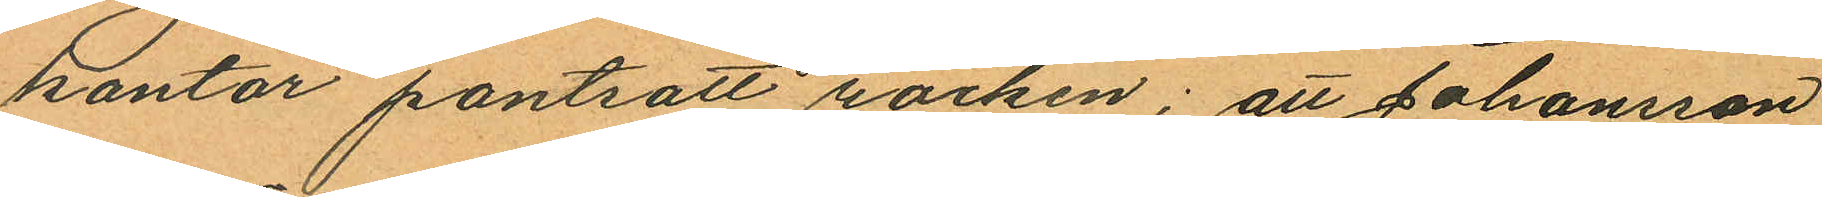kontor pantsatt rocken; att Johansson,
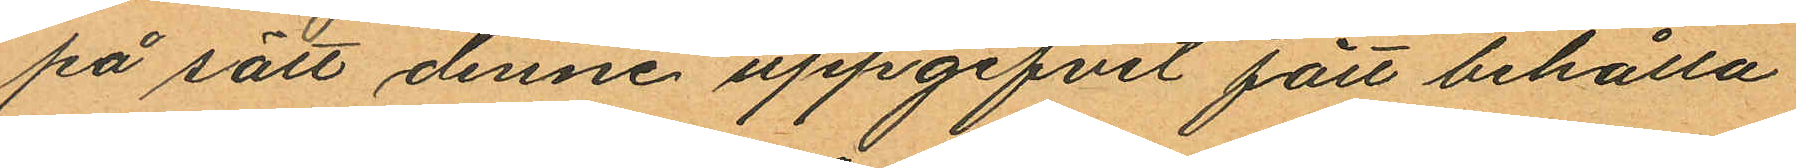på sätt denne uppgifvit fått behålla
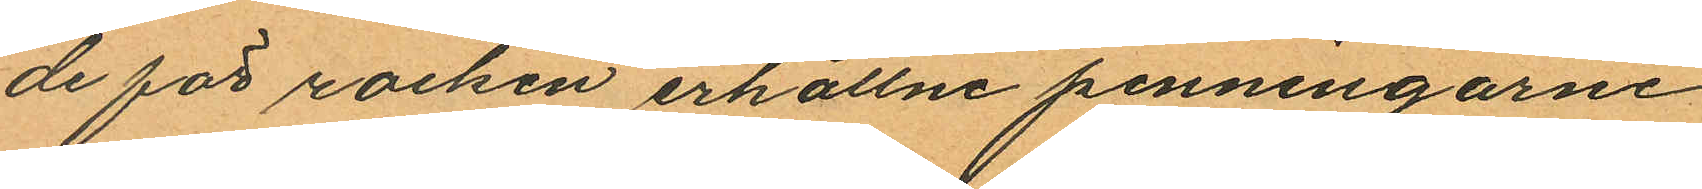de för rocken erhållne penningarne
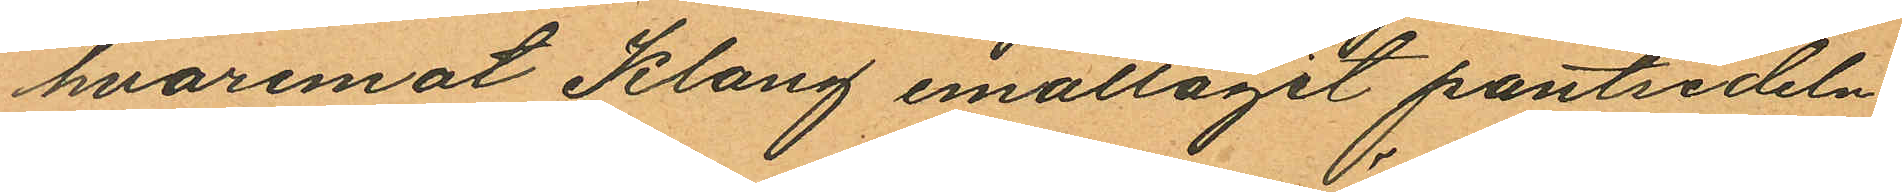hvaremot Klang emottagit pantsedeln
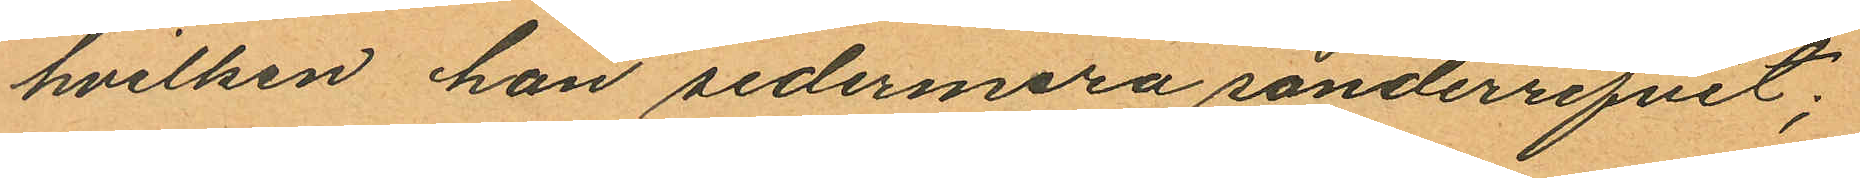hvilken han sedermera sönderrifvit;
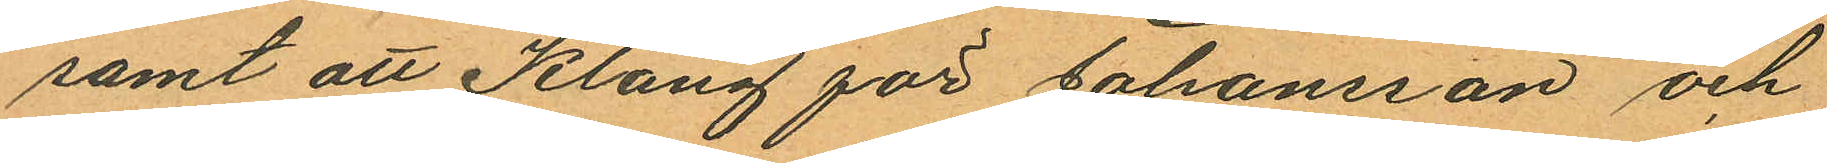samt att Klang för Johansson och
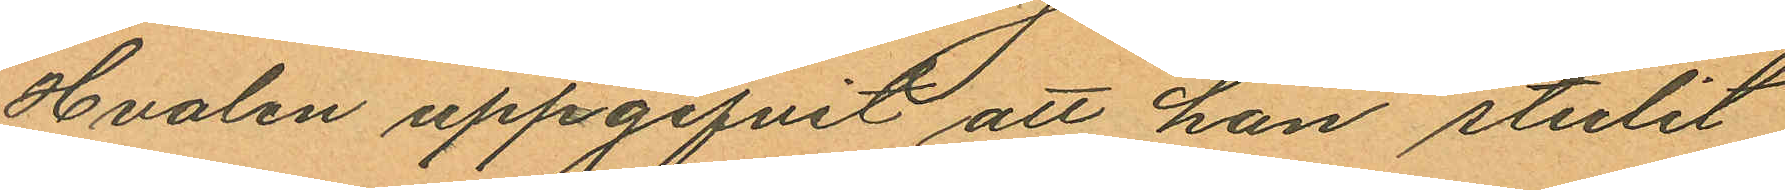Hvalen uppgifvit att han stulit
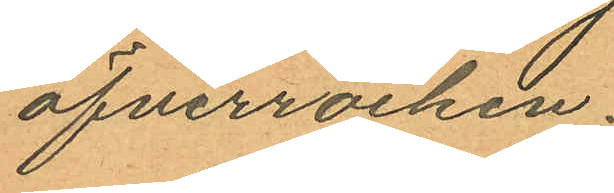öfverrocken.
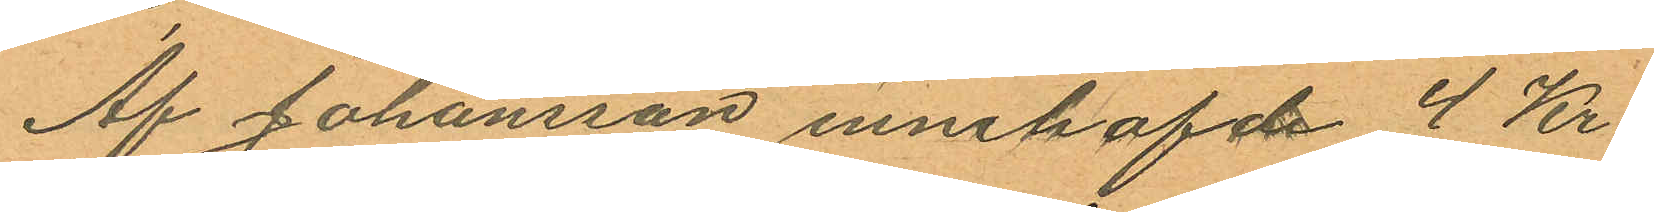Af Johansson innehafde 4 Kr.
